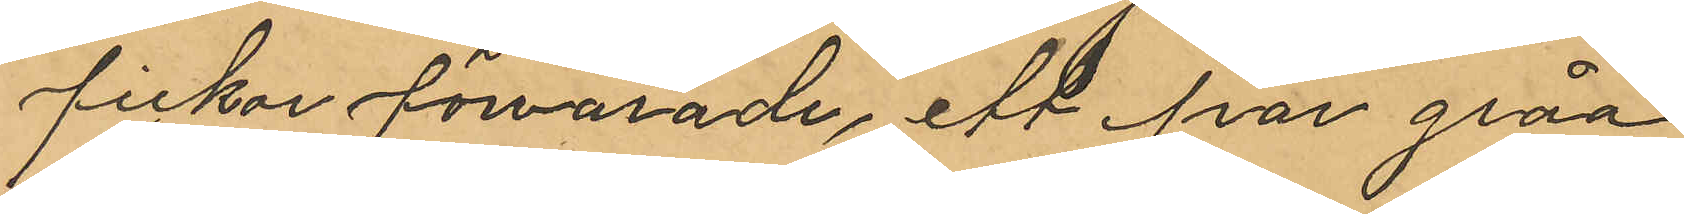fickor förvarade, ett par gråa
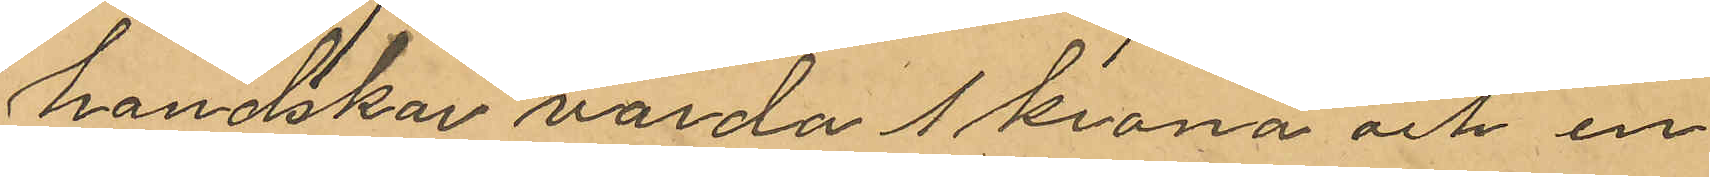handskar värda 1 krona och en
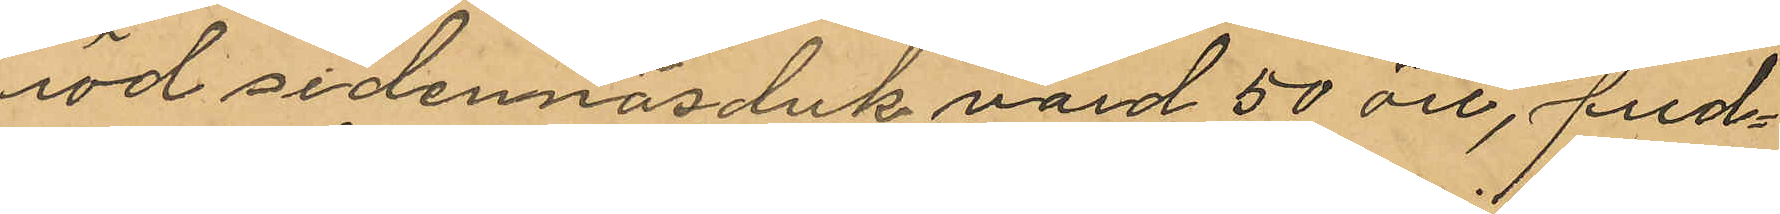röd sidennäsduk värd 50 öre, fred¬
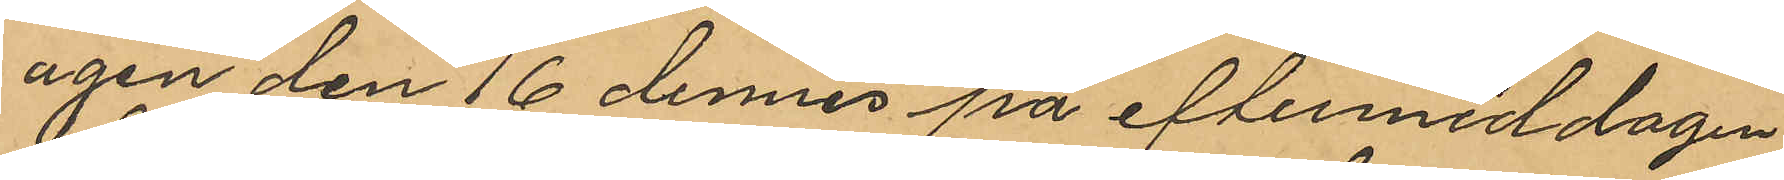agen den 16 dennes på eftermiddagen
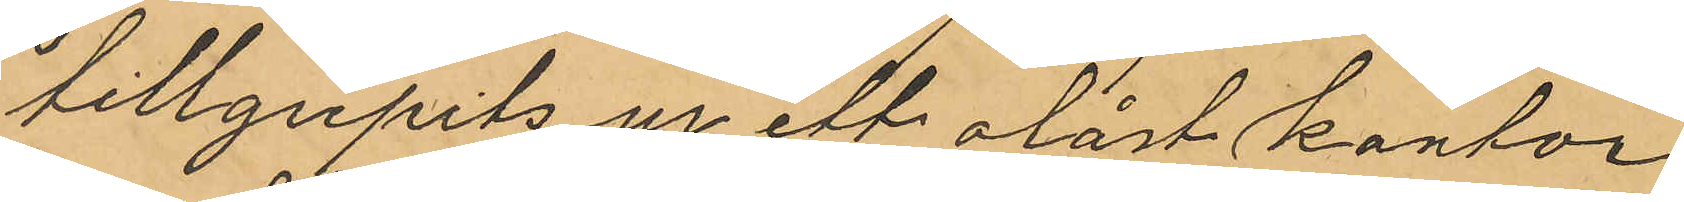tillgripits ur ett olåst kontor
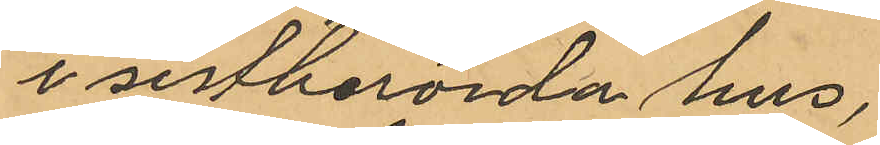i sistberörda hus.
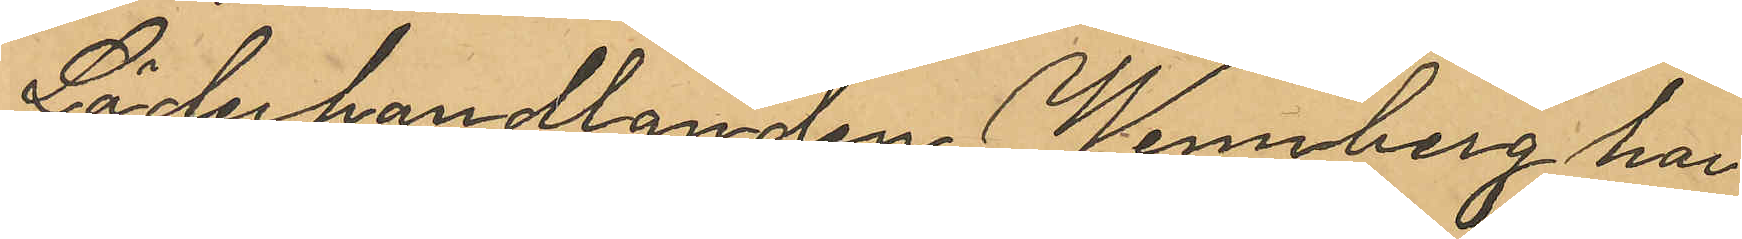Läderhandlanden Wennberg har
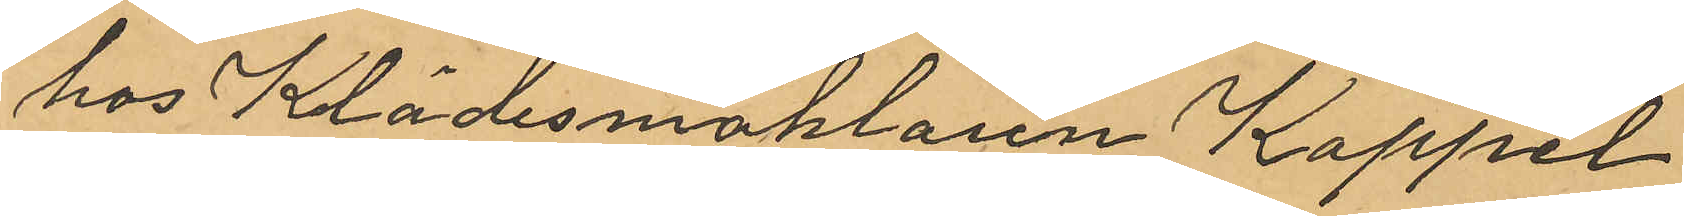hos Klädesmäklaren Koppel
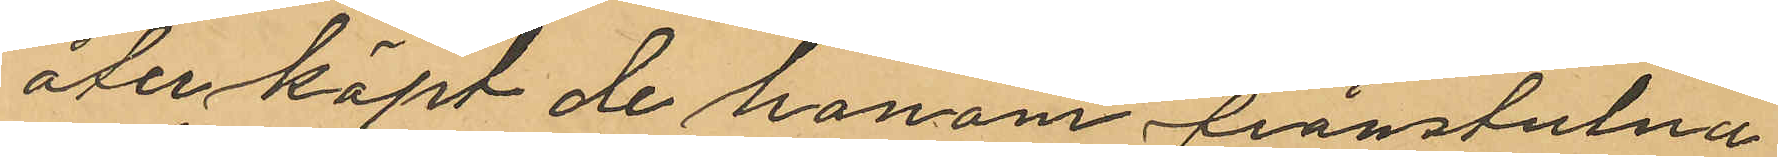återköpt de honom frånstulna
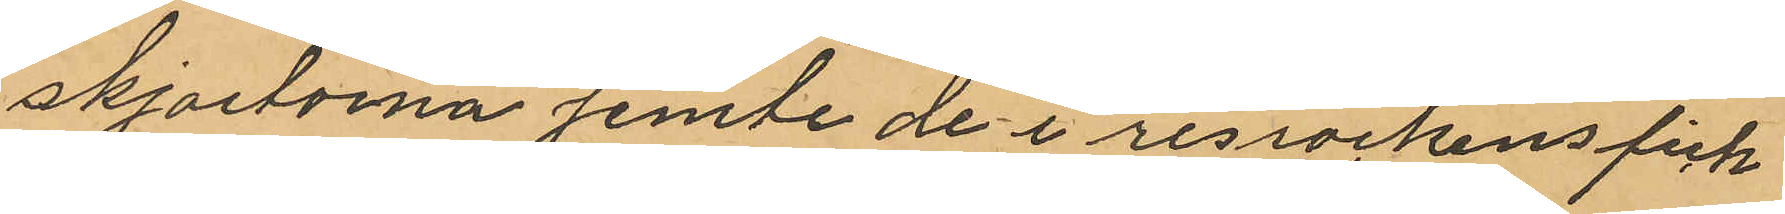skjortorna jemte de i resrockens fick¬
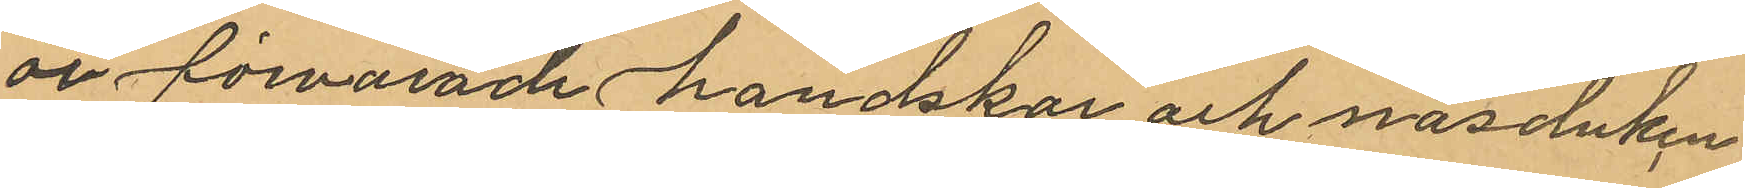or förvarade handskar och näsduken
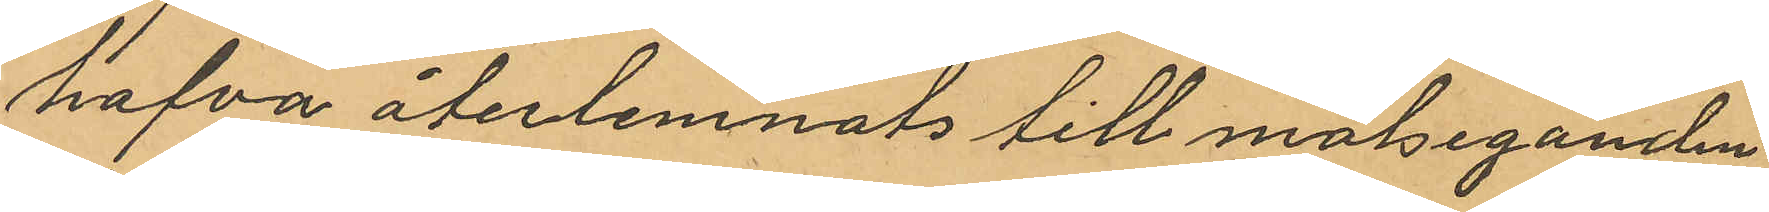hafva återlemnats till målseganden
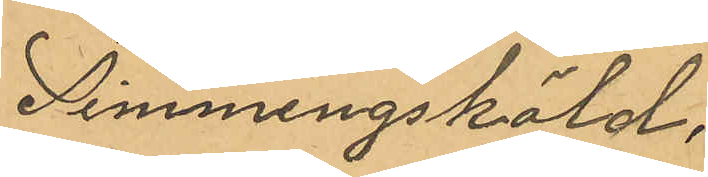Simmingsköld,
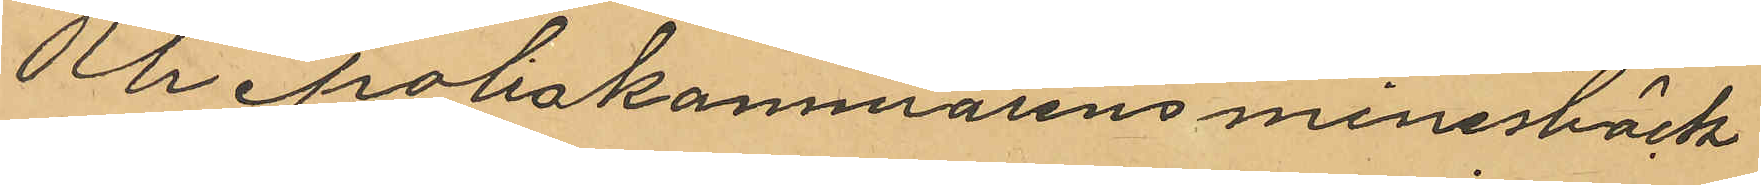Ur Poliskammarens minnesböck¬
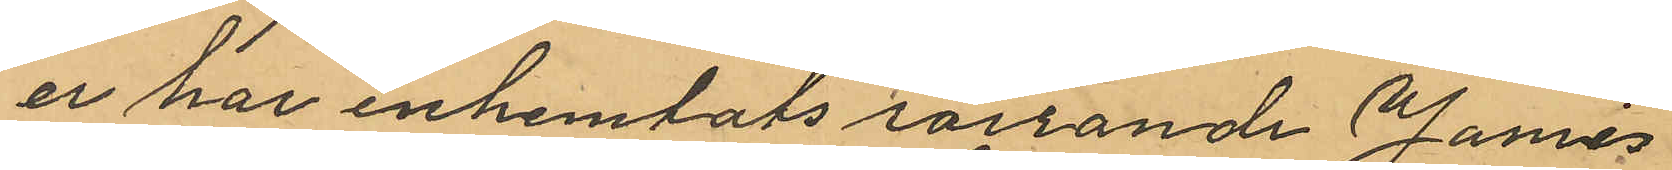er har inhemtats rörrande James
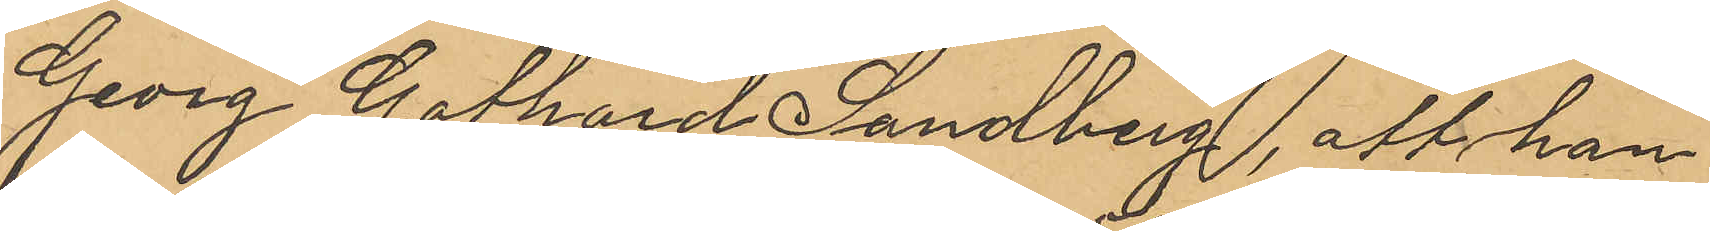Gevrg Gothard Sandberg, att han
